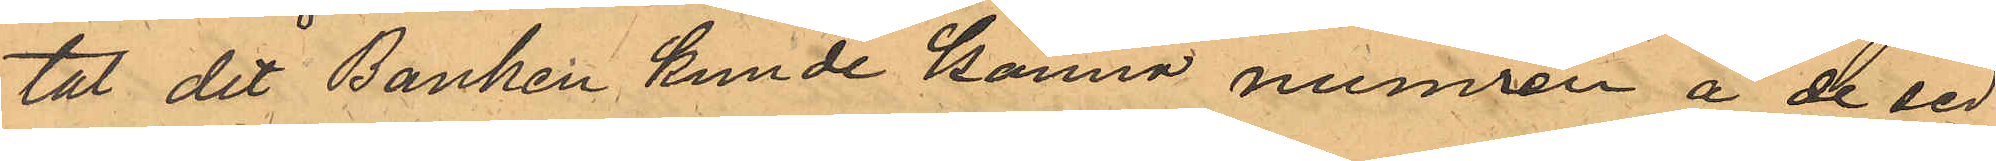tat det Banken kunde känna numren å de sed¬
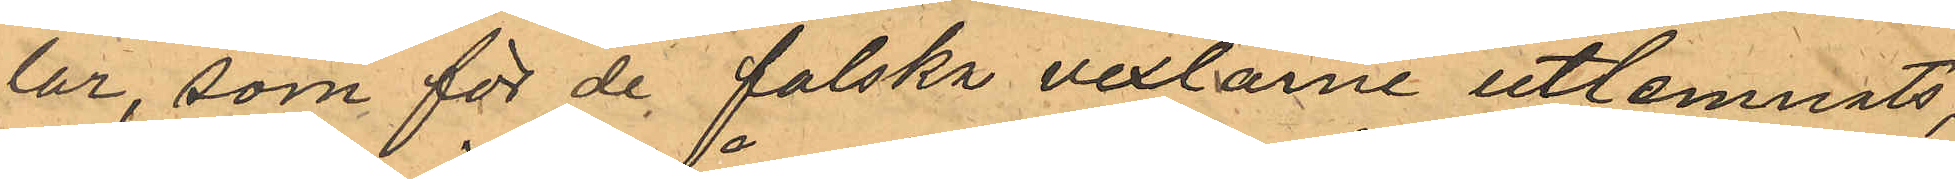lar, som för de falska vexlarne utlemnats;
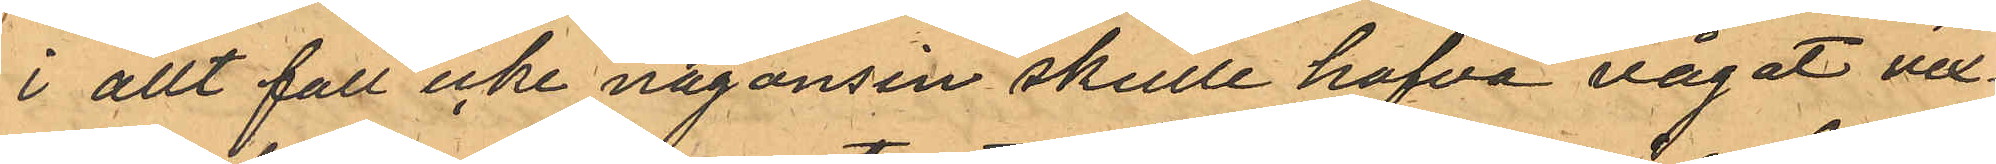i allt fall icke någonsin skulle hafva vågat vex¬
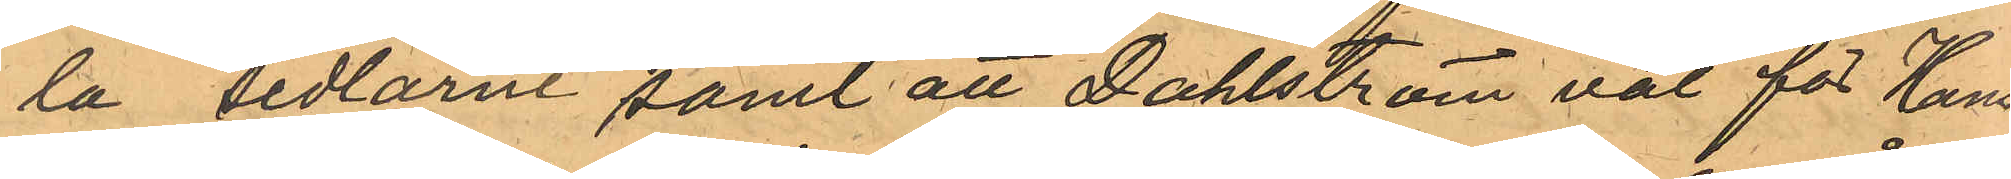la sedlarne samt att Dahlström väl för Hans¬
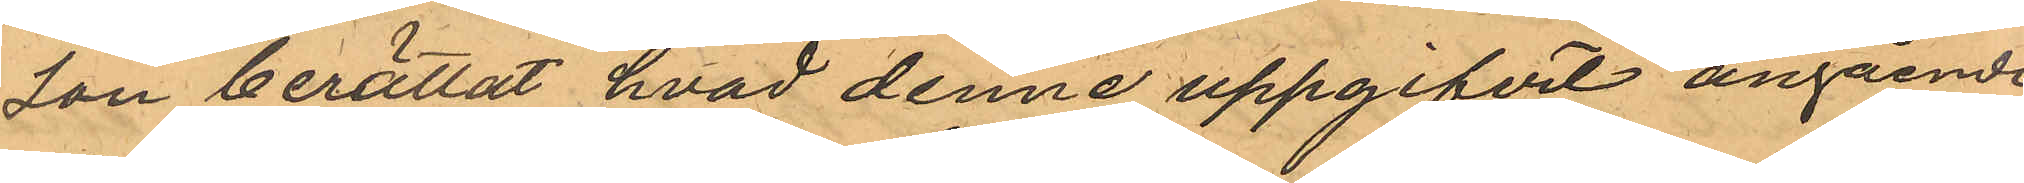son berättat hvad denne uppgifvit angående
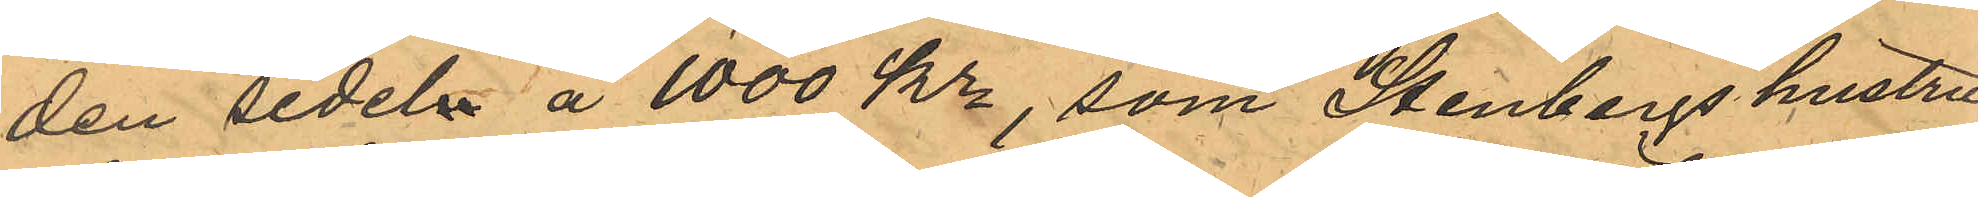den sedel å 1000 Kr, som Stenbergs hustru
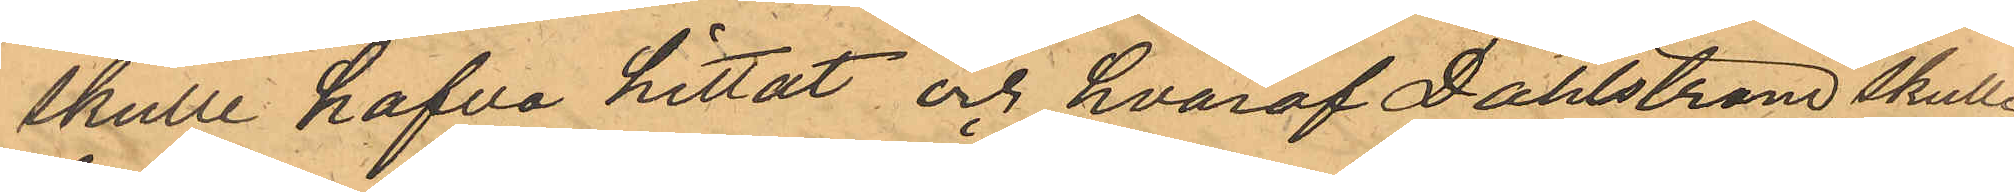skulle hafva hittat och hvaraf Dahlström skulle
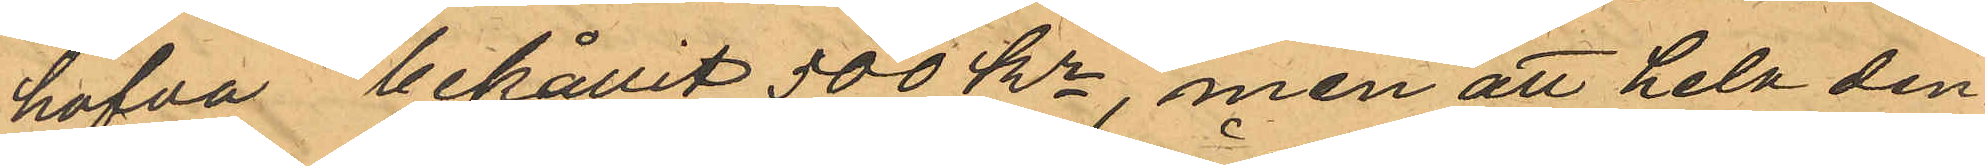hafva behållit 500 Kr, men att hela den¬
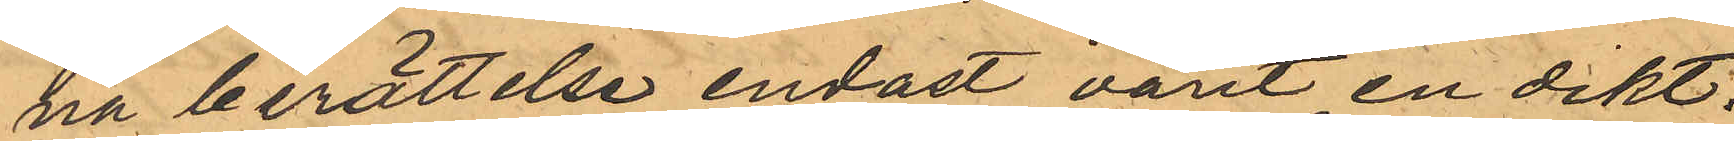na berättelse endast varit en dikt.
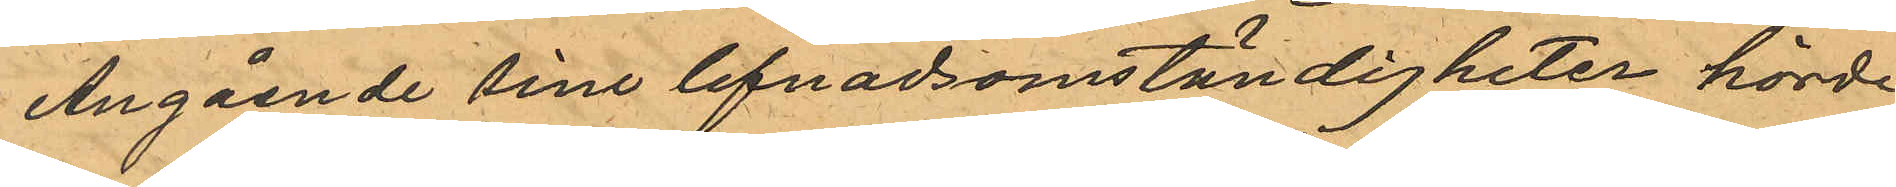Angående sine lefnadsomständigheter hörde
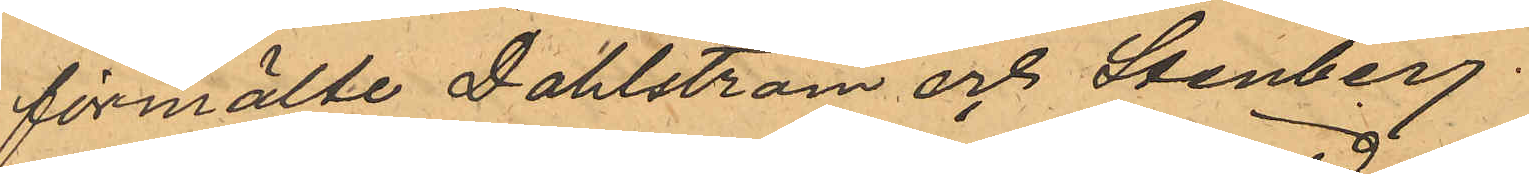förmälte Dahlström och Stenberg:
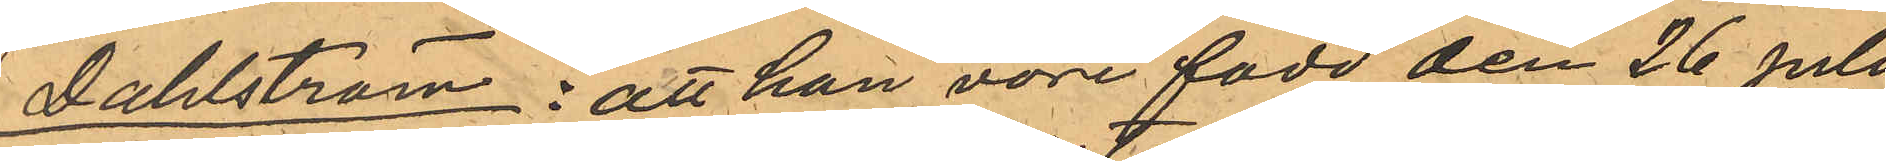Dahlström: att han vore född den 26 juli
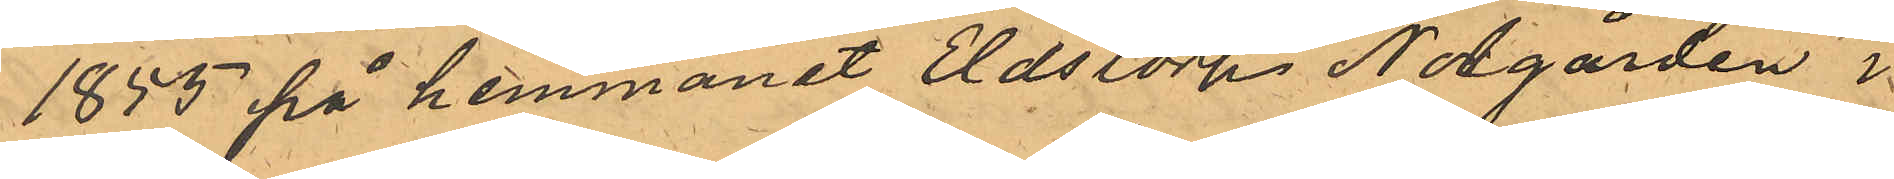1855 på hemmanet Eldstorp Nolgården i
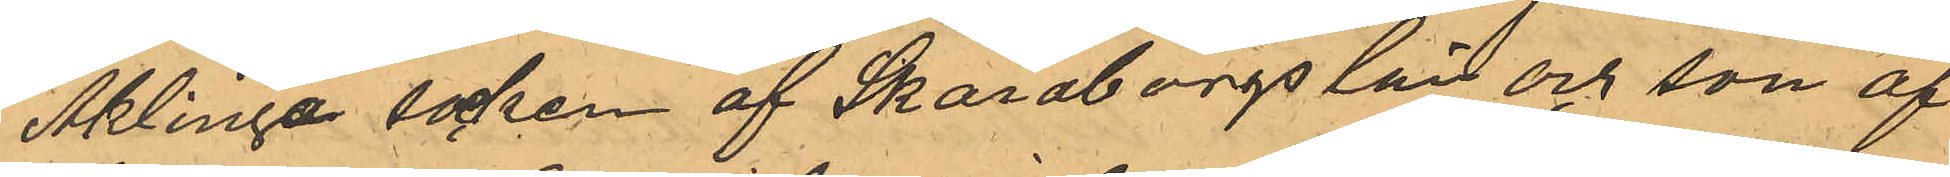Aklinga socken af Skaraborgs län och son af
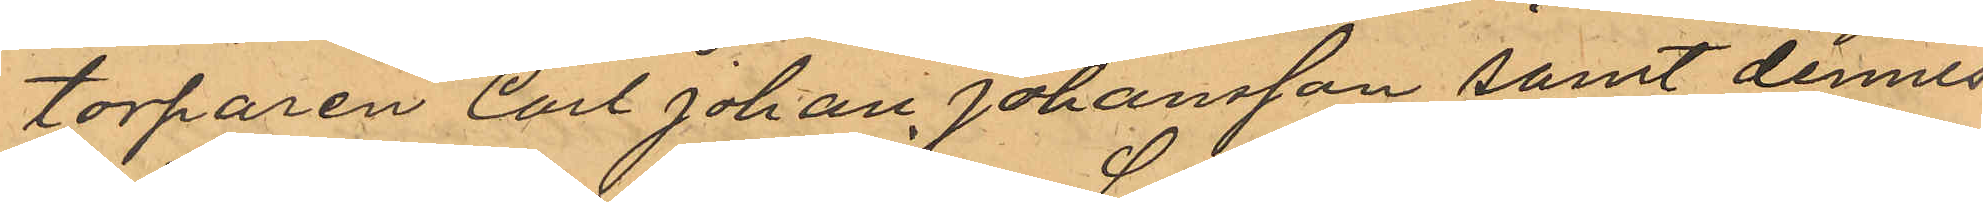torparen Carl Johan Johansson samt dennes
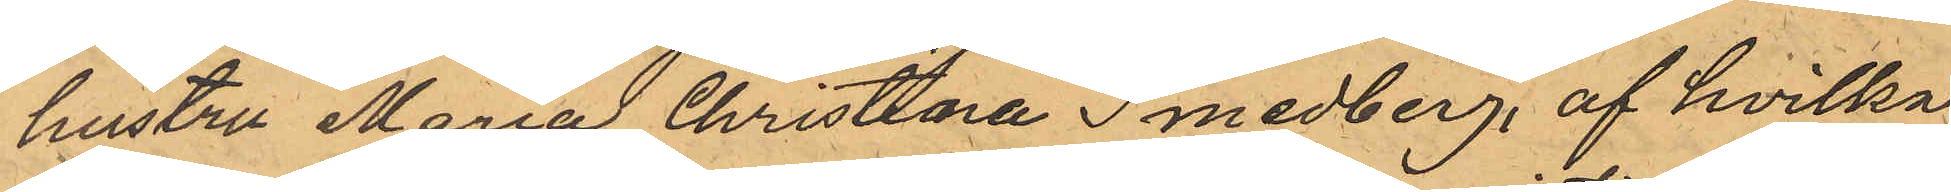hustru Maria Christina Smedberg, af hvilka
